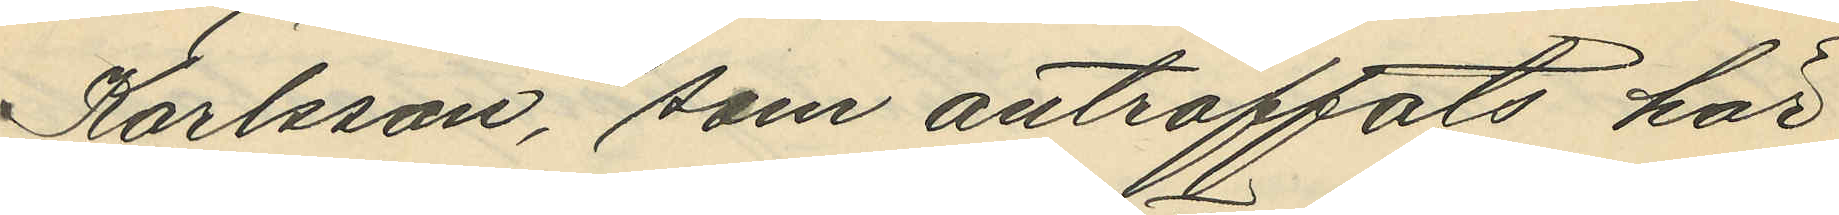Karlsson, som anträffats här
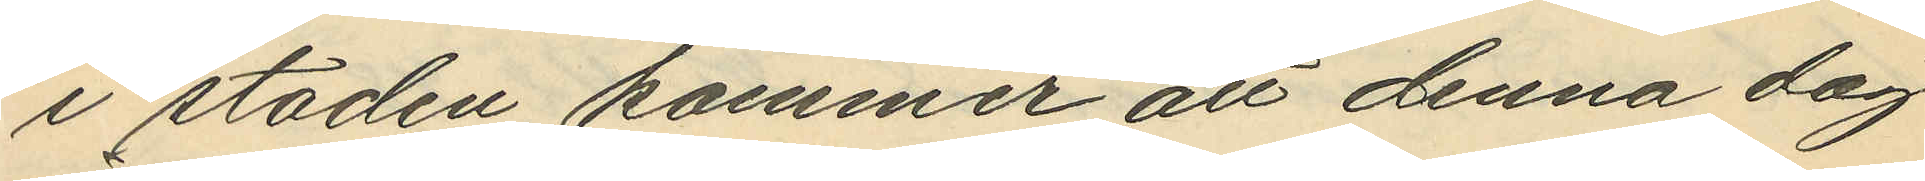i staden kommer att denna dag
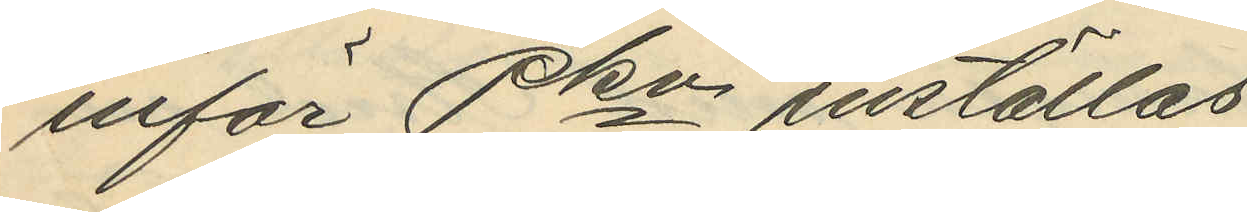inför Pkn inställas
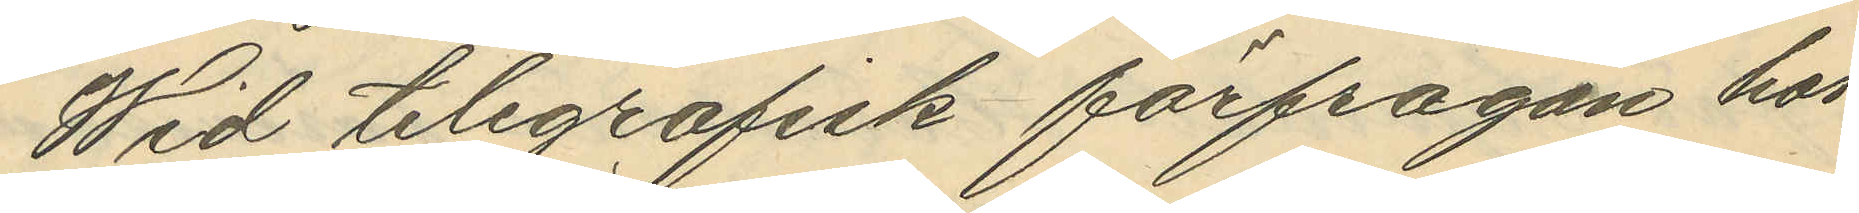Wid telegrafisk förfrågan hos
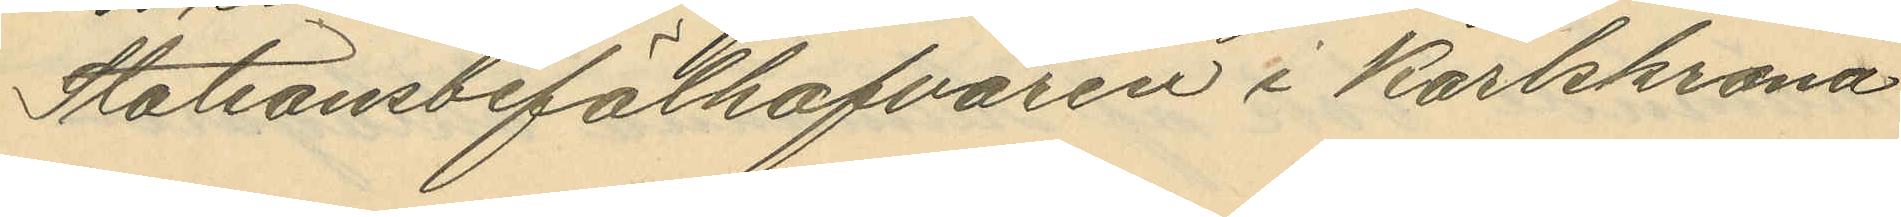Stationsbefälhafvaren i Karlskrona
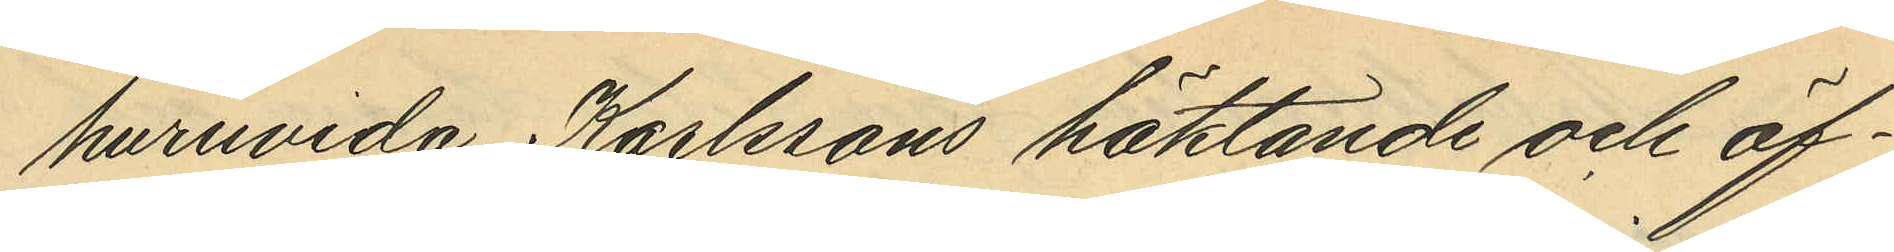huruvida Karlssons häktande och öf¬
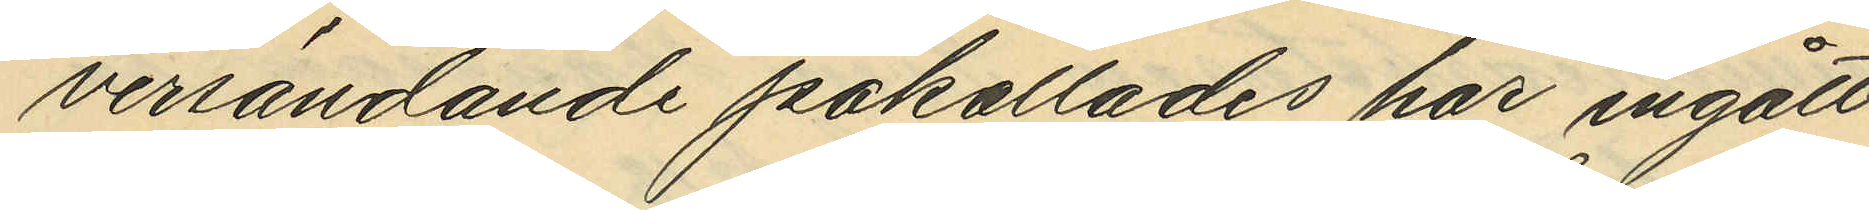versändande påkallades har ingått
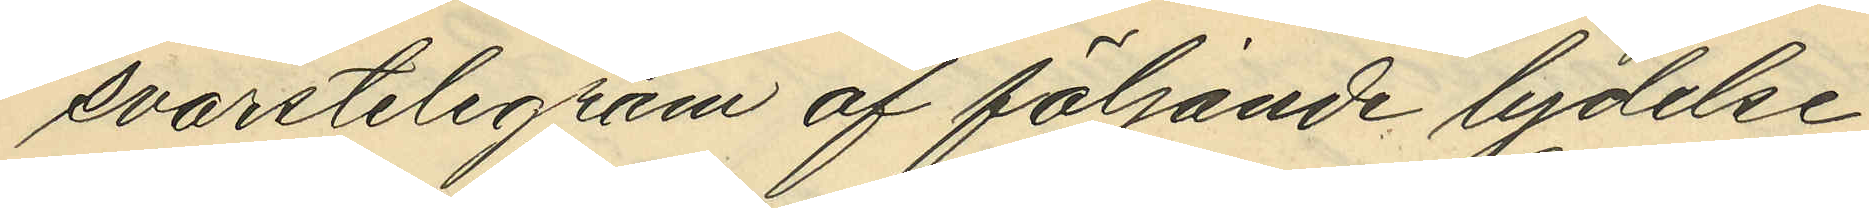svarstelegram af följande lydelse:
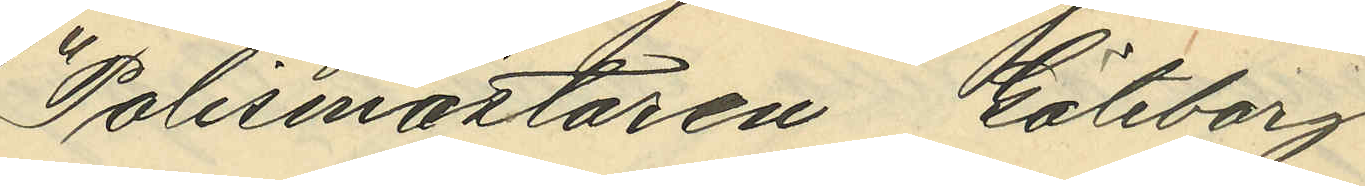"Polismästaren Göteborg
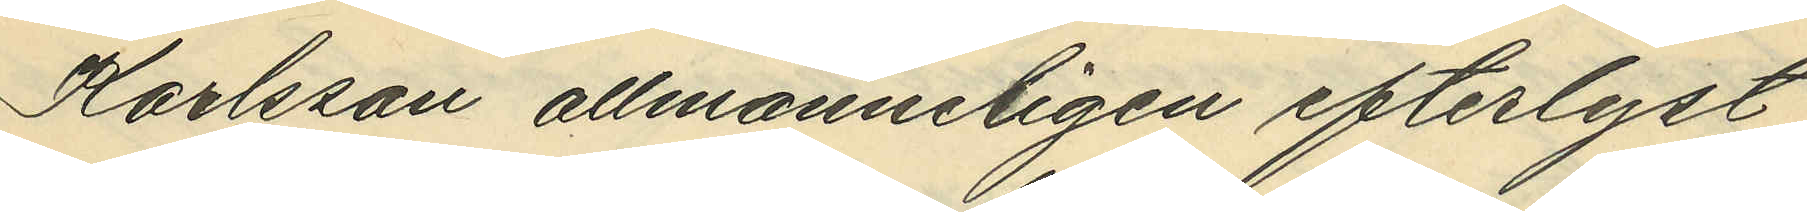Karlsson allmanneligen efterlyst
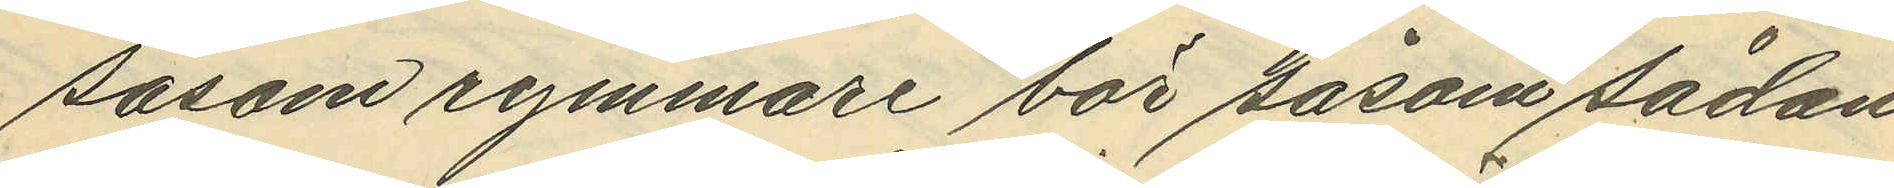såsom rymmare bör såsom sådan
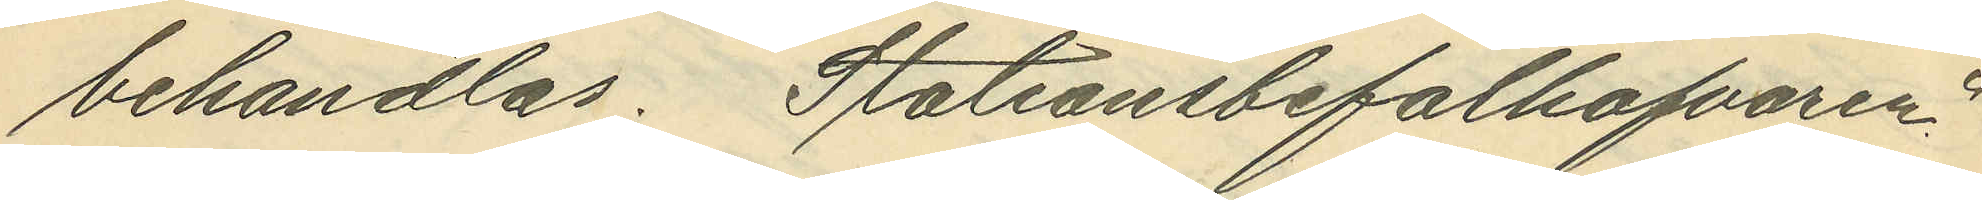behandlas. Stationsbefälhafvaren"
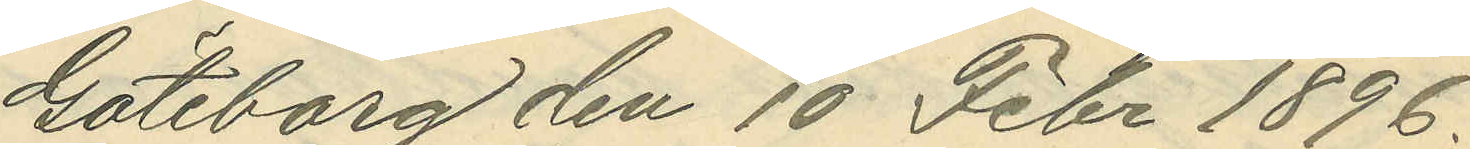Göteborg den 10 Febr 1896.
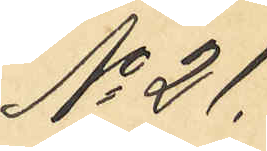No 21
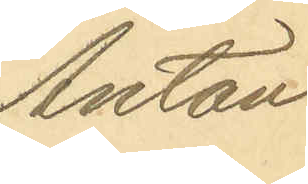Anton
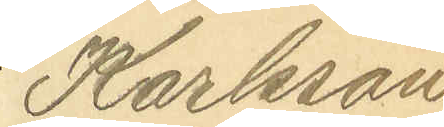Karlsson
